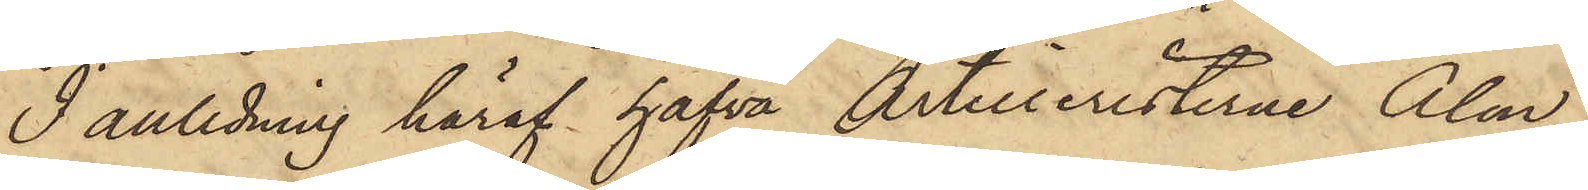I anledning häraf hafva Artilleristerne Alm
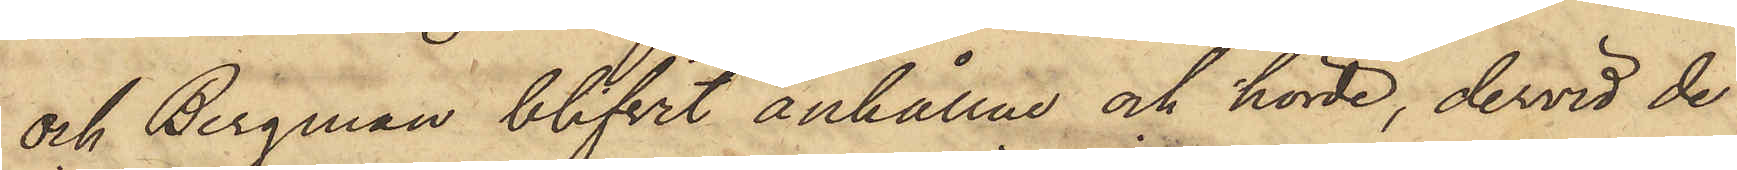och Bergman blifvit anhållne och hörde, dervid de
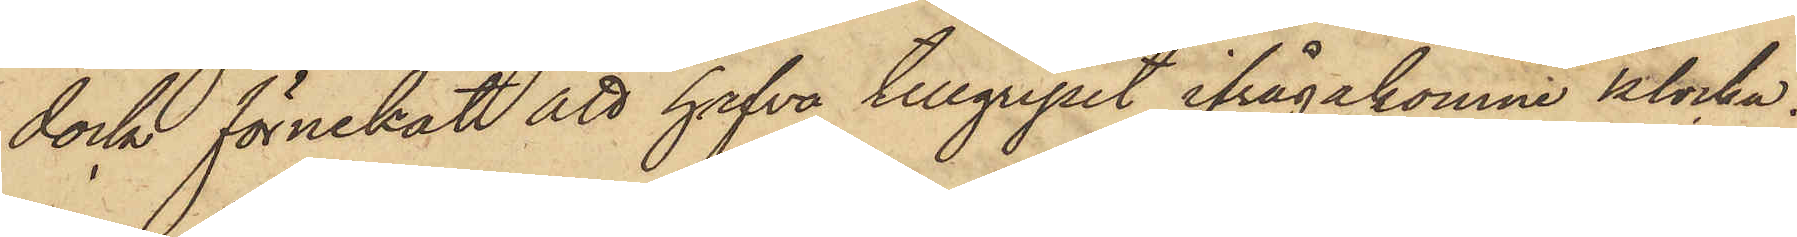dock förnekat att hafva tillgripit ifrågakomne klocka.
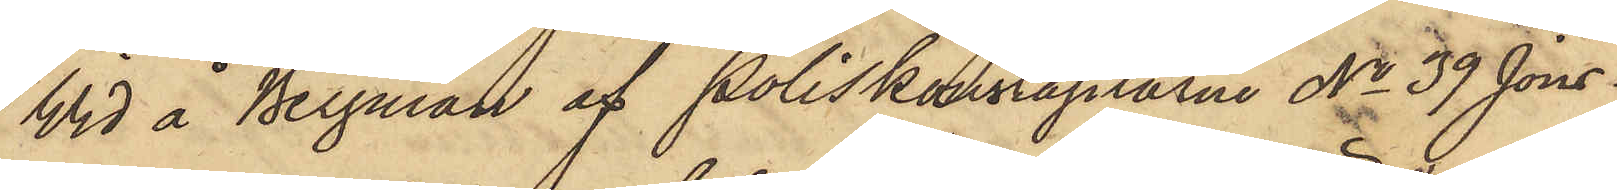Wid å Bergman af Poliskonstaplarne No 39 Jons¬
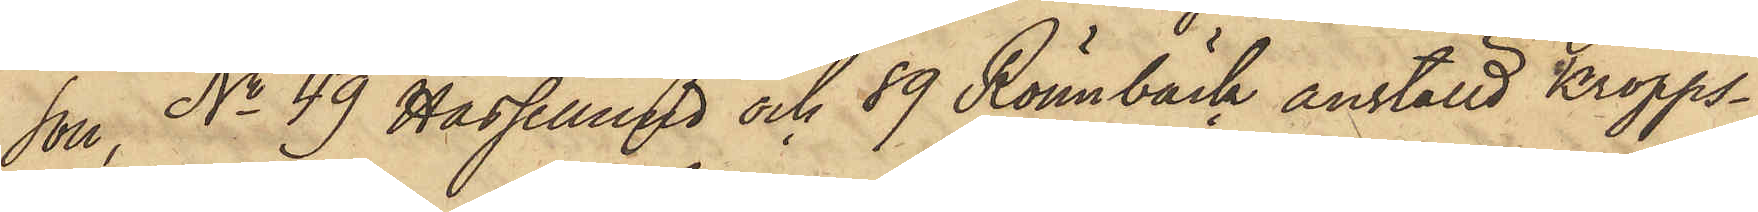son, No 49 Hassellund och 89 Rönnbäck anställd Kropps¬
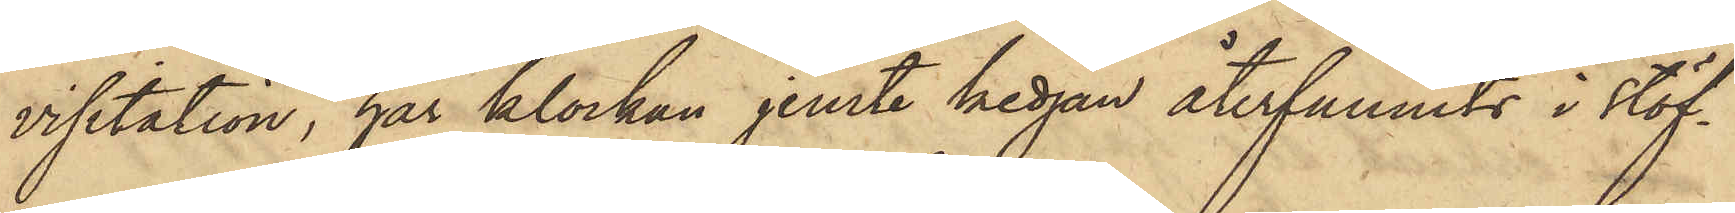vistation, har klockan jemte kedjan återfunnits i stöf¬
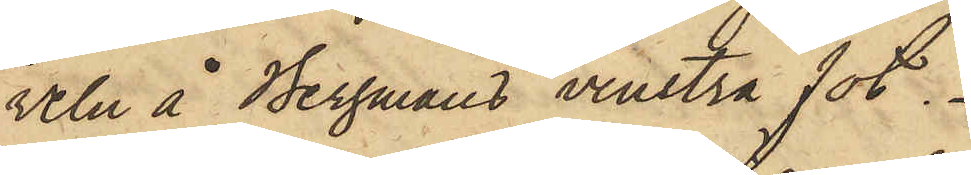veln å Bergmans venstra fot.
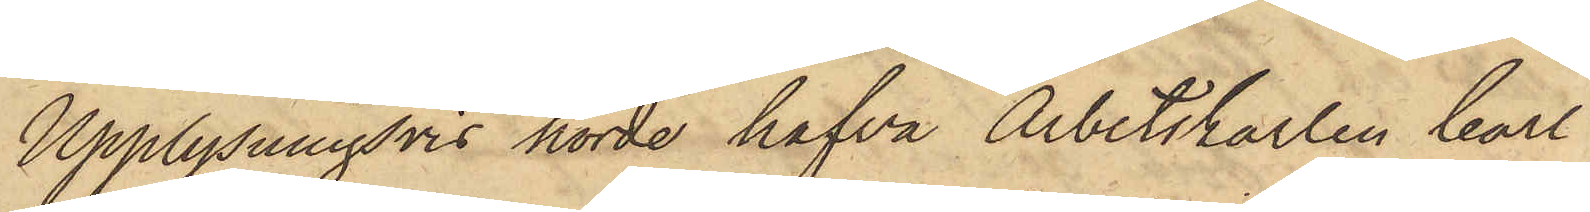Upplysningsvis hörde hafva Arbetskarlen Carl
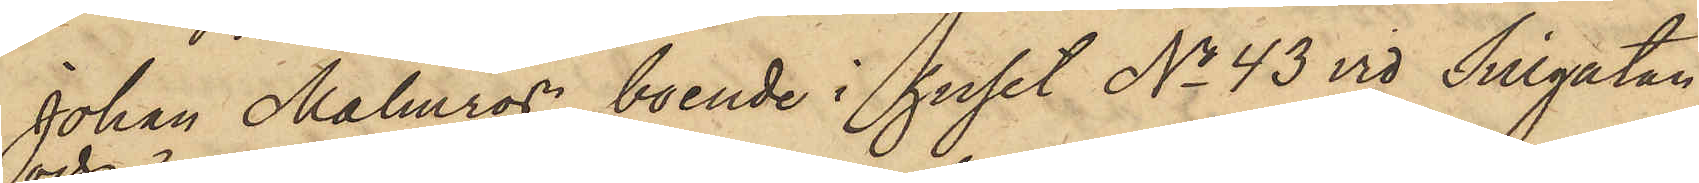Johan Malmros, boende i huset No 43 vid Sillgatan,
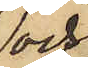och
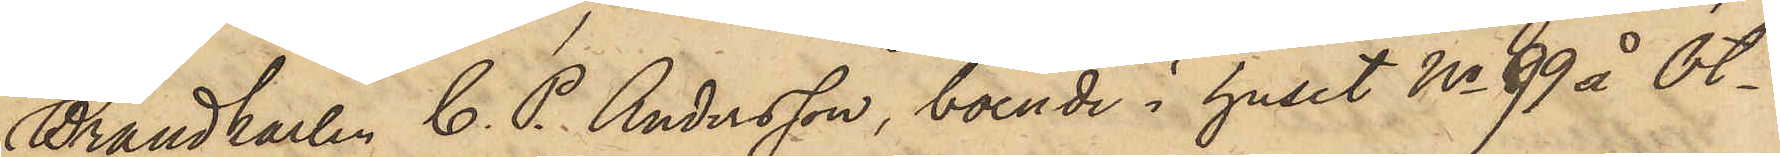Brandkarlen C. P. Andersson, boende i huset No 99 å Ot¬
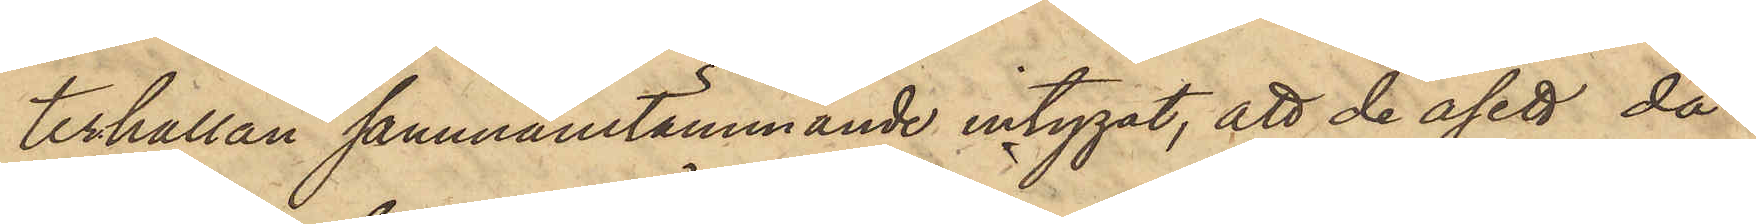terhällan sammanstämmande intygat, att de åsett då
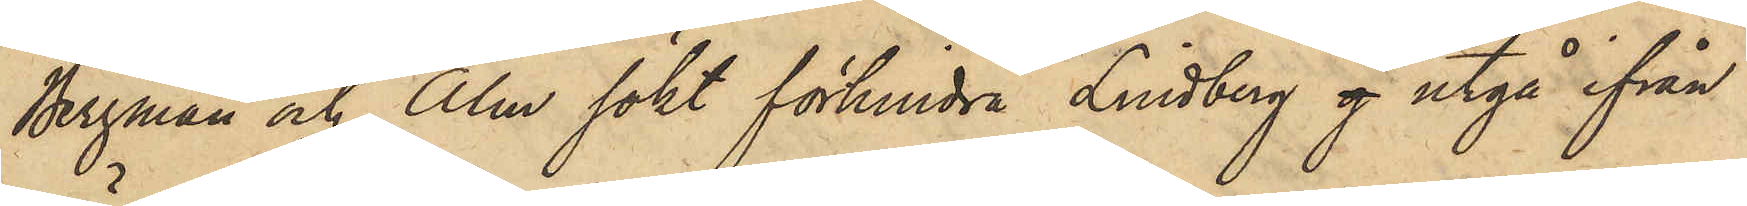Bergman och Alm sökt förhindra Lindberg g utgå ifrån
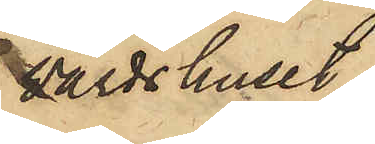värdshuset.
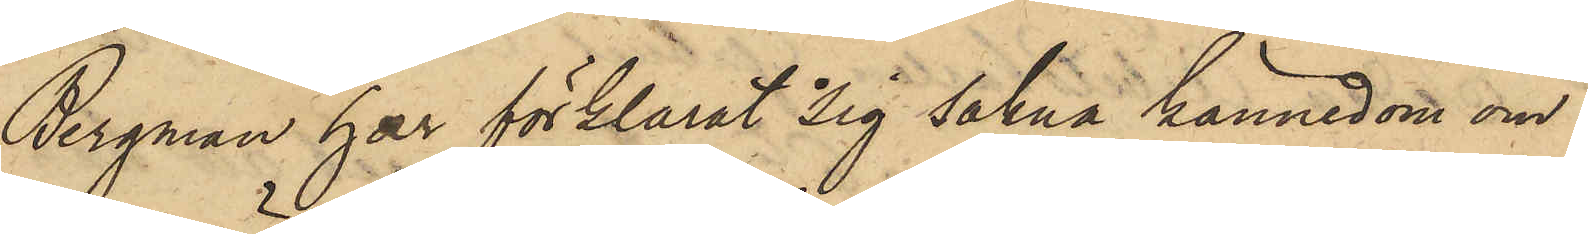Bergman har förklarat sig sakna kännedom om
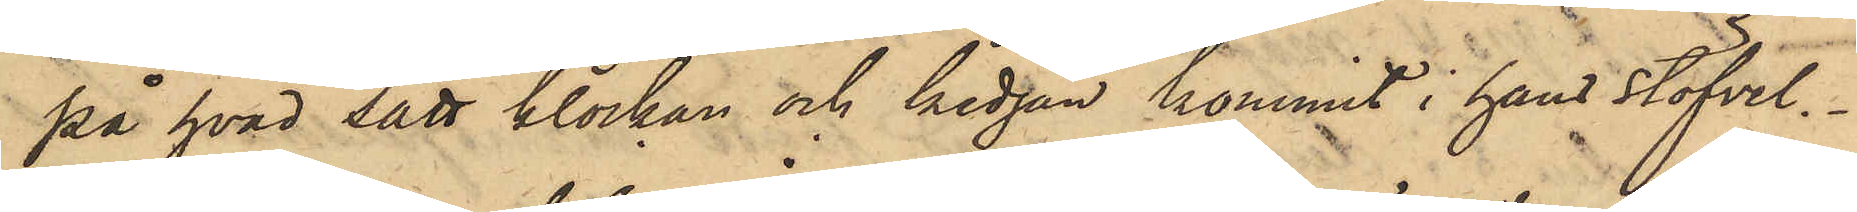på hvad sätt klockan och kedjan kommit i hans stöfvel.
